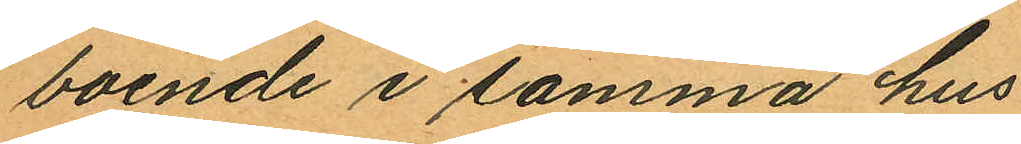boende i samma hus
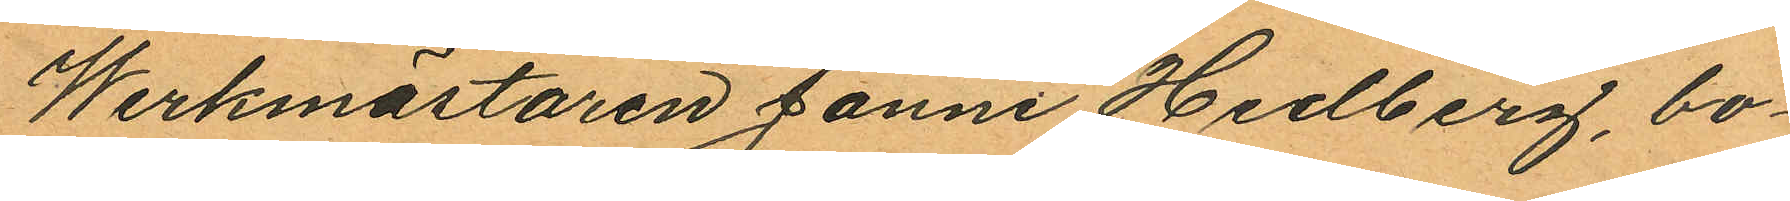Werkmästaren Janne Hedberg, bo¬
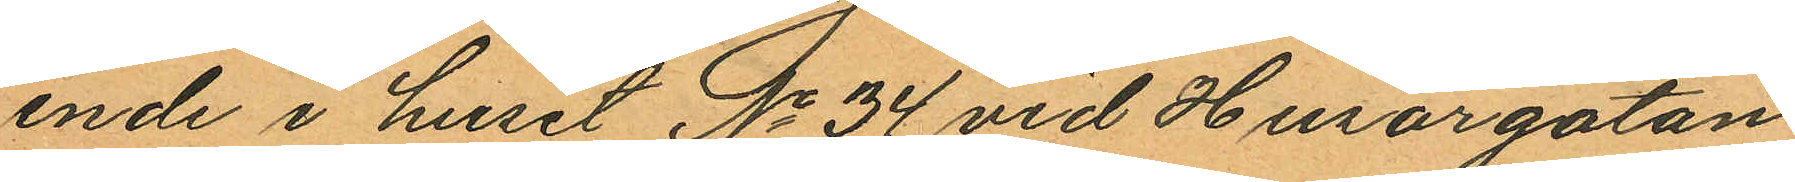ende i huset No 34 vid Husargatan
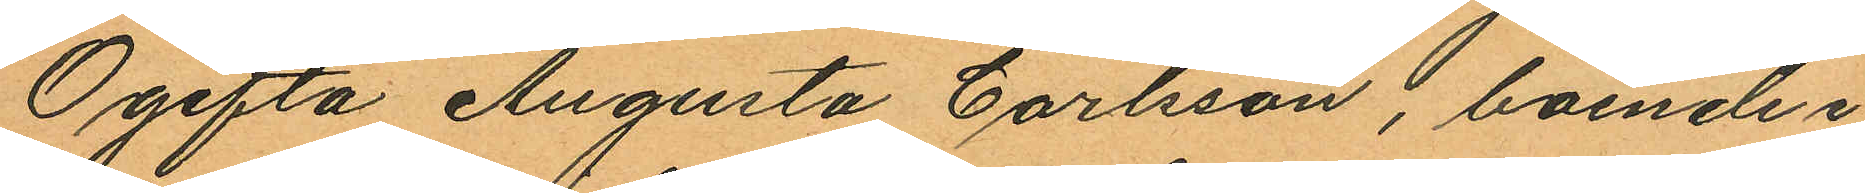Ogifta Augusta Carlsson, boende i
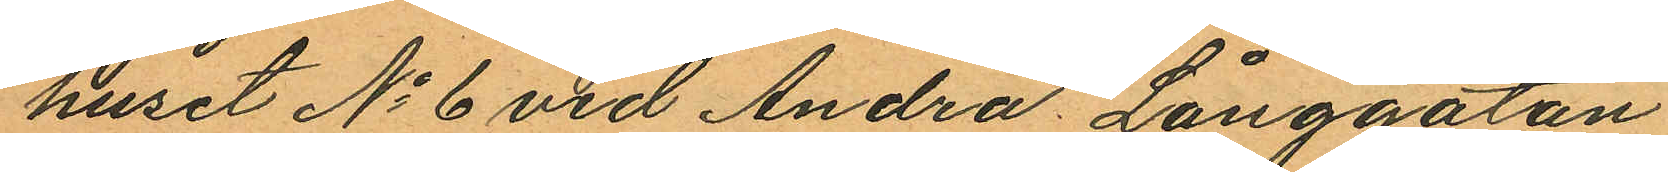huset No 6 vid Andra Långgatan
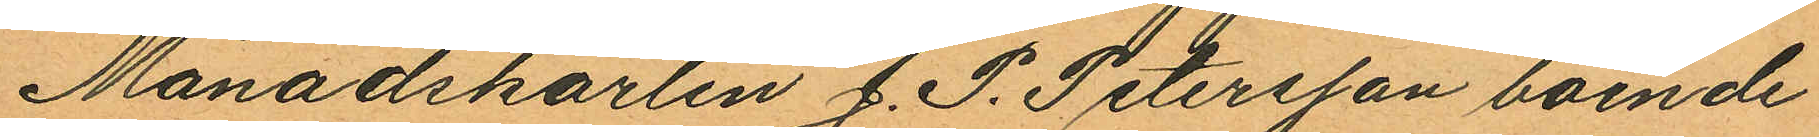Månadskarlen J. P. Petersson boende
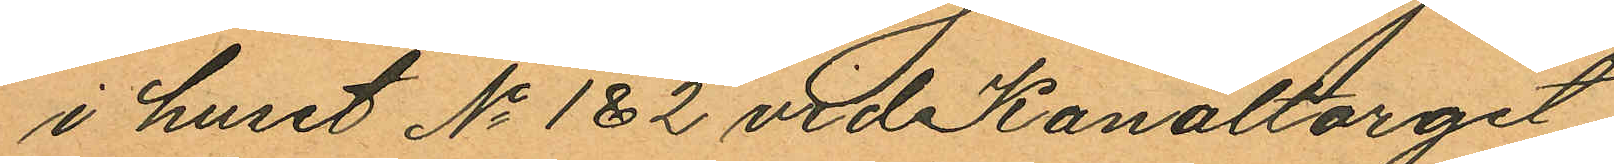i huset No 1 & 2 vid Kanaltorget
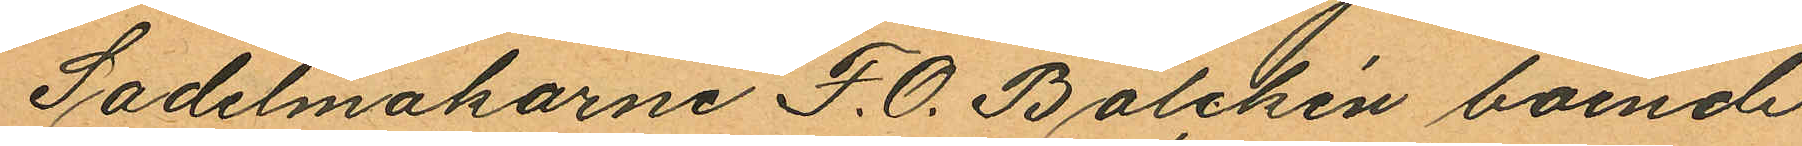Sadelmakarne F. O. Balchén boende
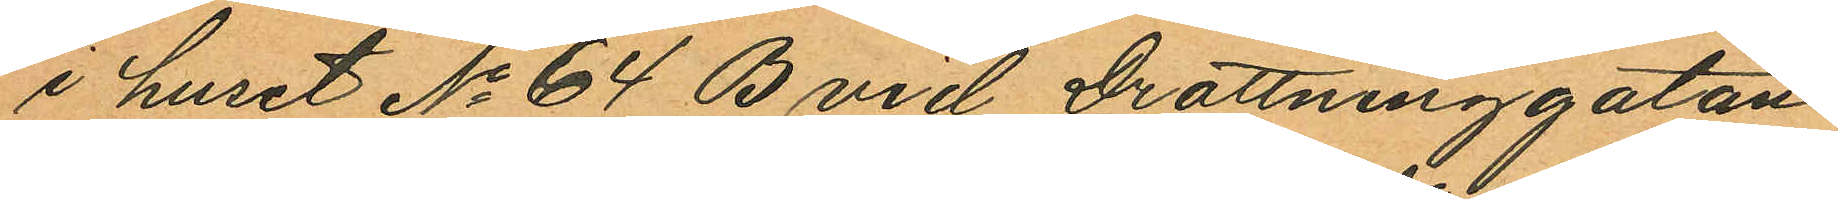i huset No 64 B vid Drottninggatan
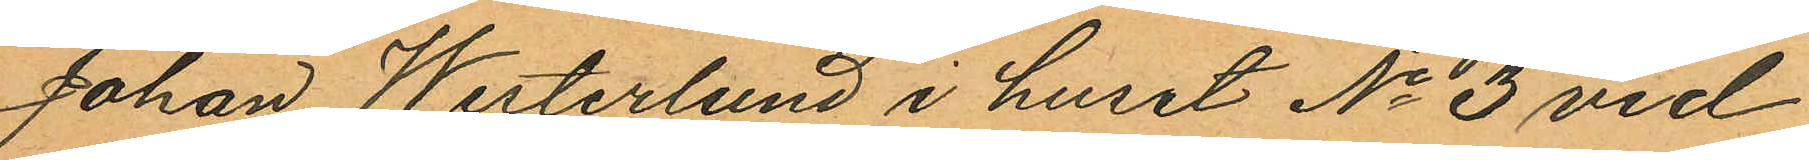Johan Westerlund i huset No 3 vid
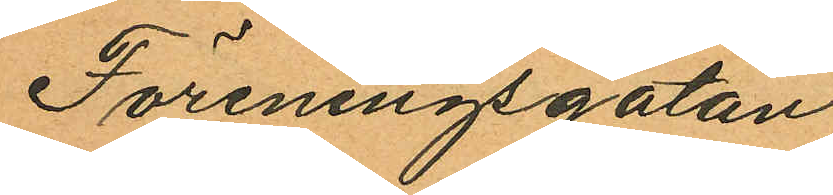Föreningsgatan
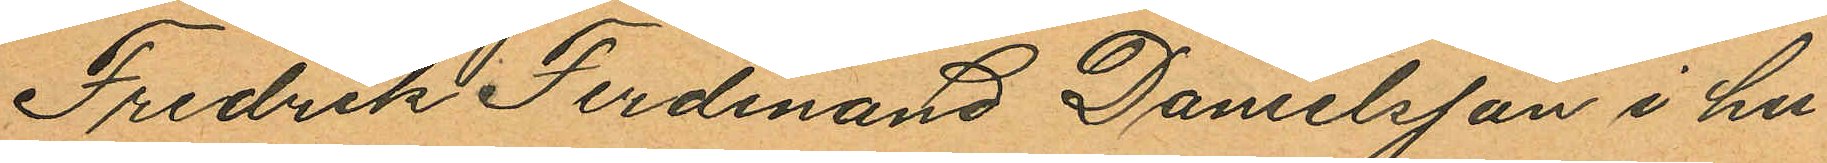Fredrik Ferdinand Danielsson i hu¬
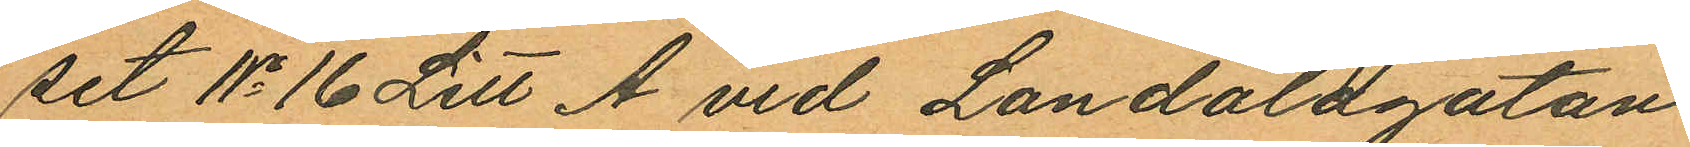set No 16 Litt A vid Landalagatan
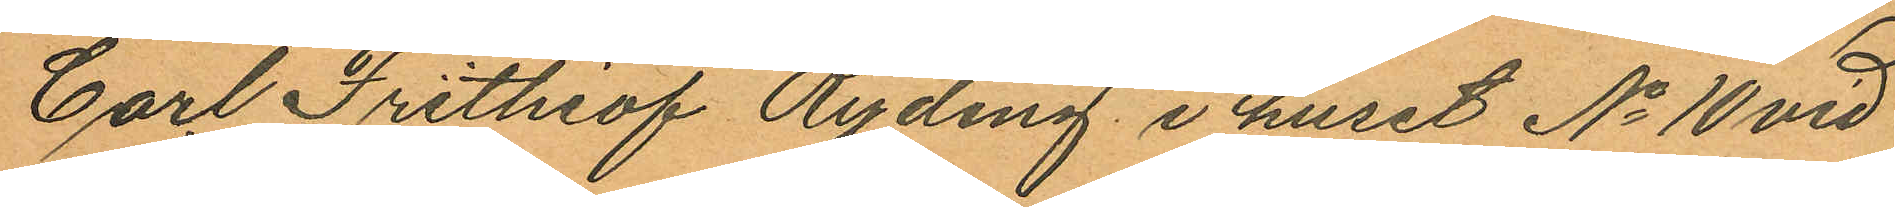Carl Frithiof Ryding i huset No 10 vid
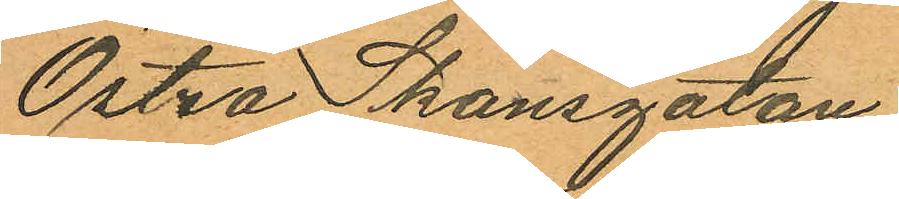Östra Skansgatan
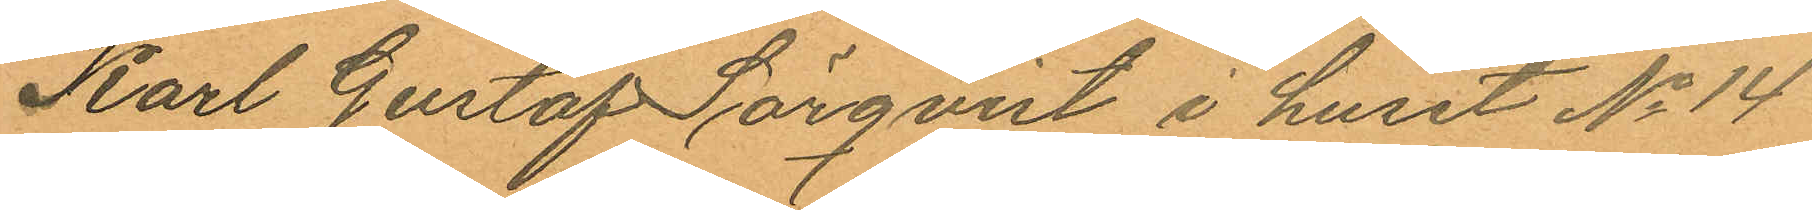Karl Gustaf Sörqvist i huset No 14
